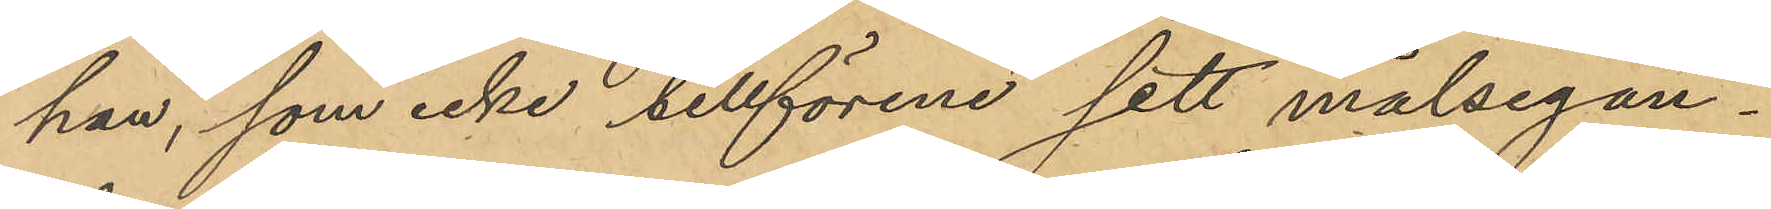han, som icke tillförene sett målsegan¬
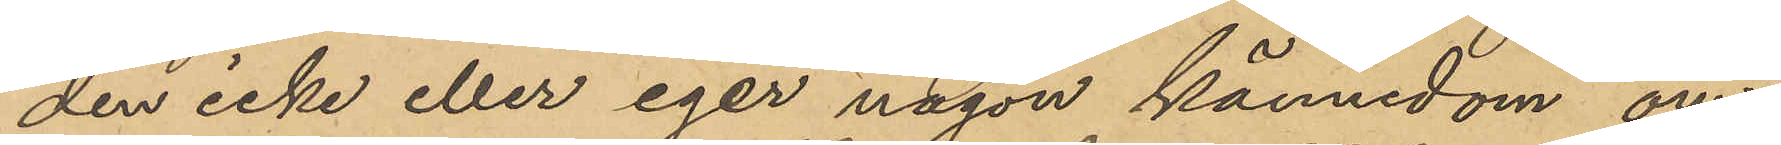den icke eller eger någon kännedom om
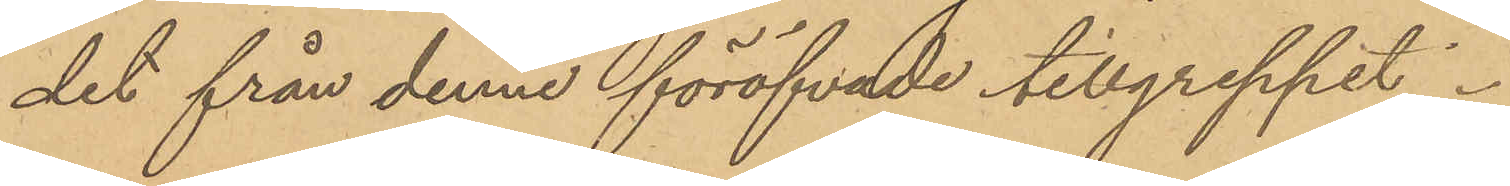det från denne föröfvade tillgreppet.
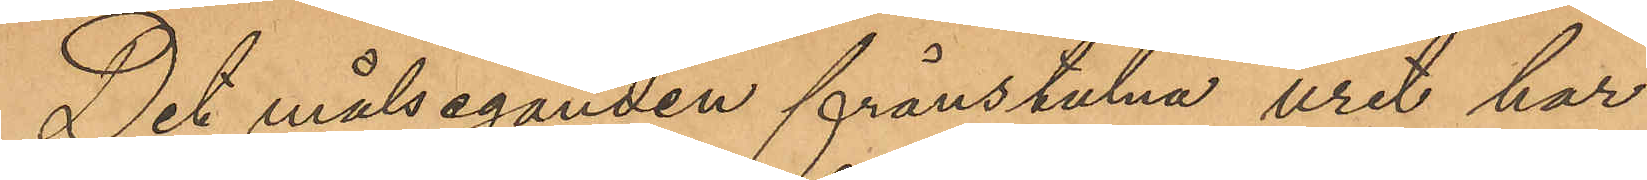Det målseganden frånstulna uret har
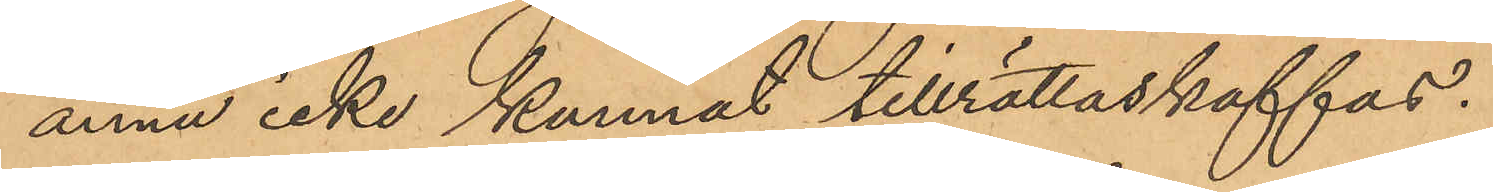ännu icke kunnat tillrättaskaffas.
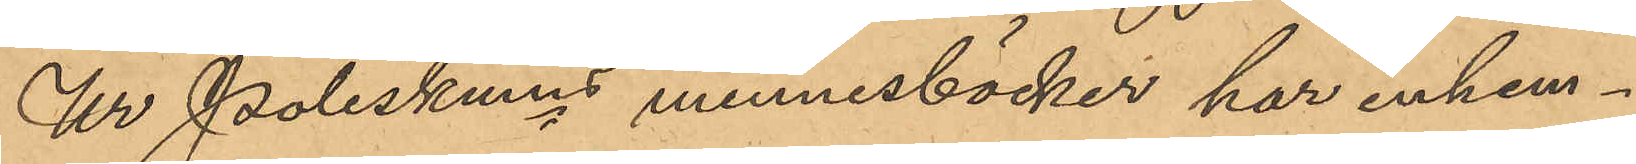Ur Poliskmns minnesböcker har inhem¬
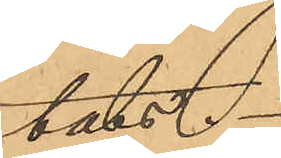tats.
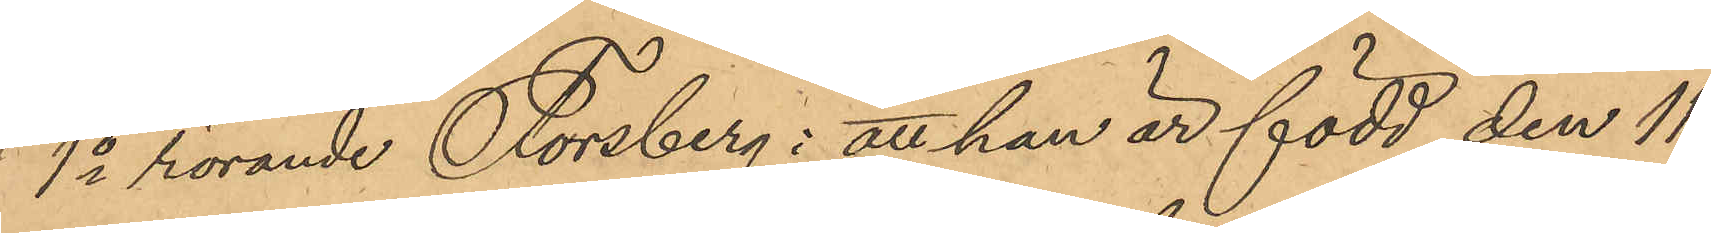1o rörande Forsberg: att han är född den 11
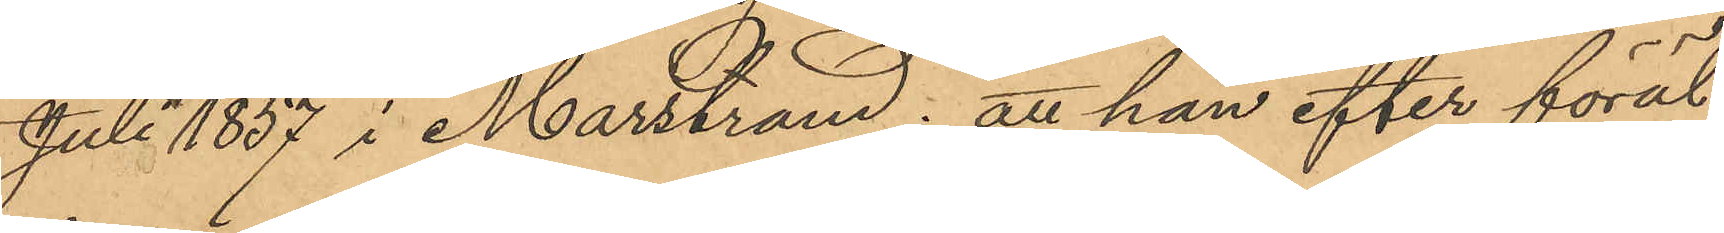Juli 1857 i Marstrand; att han efter föräl¬
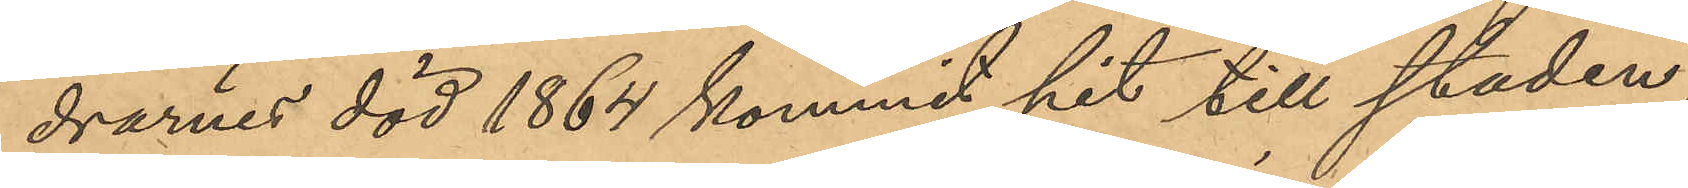drarnes död 1864 kommit hit till staden,
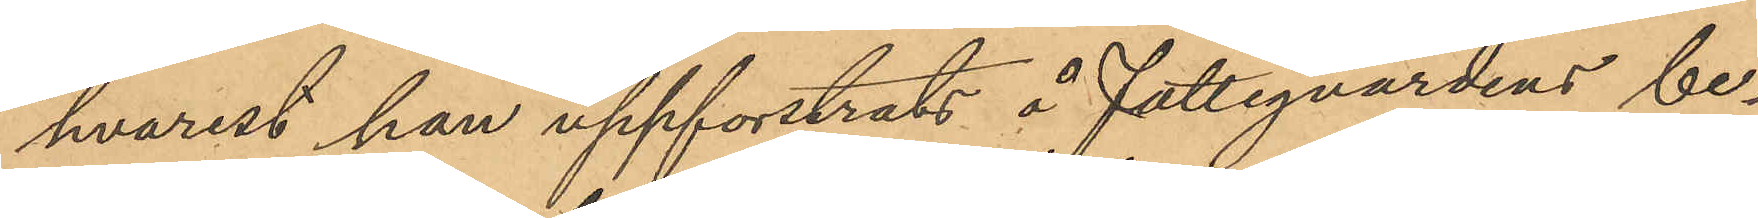hvarest han uppforstrats å Fattigvårdens be¬
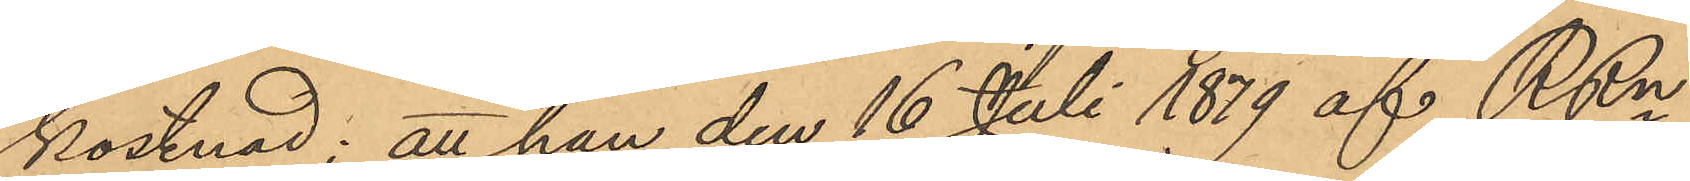kostnad; att han den 16 Juli 1879 af RRn
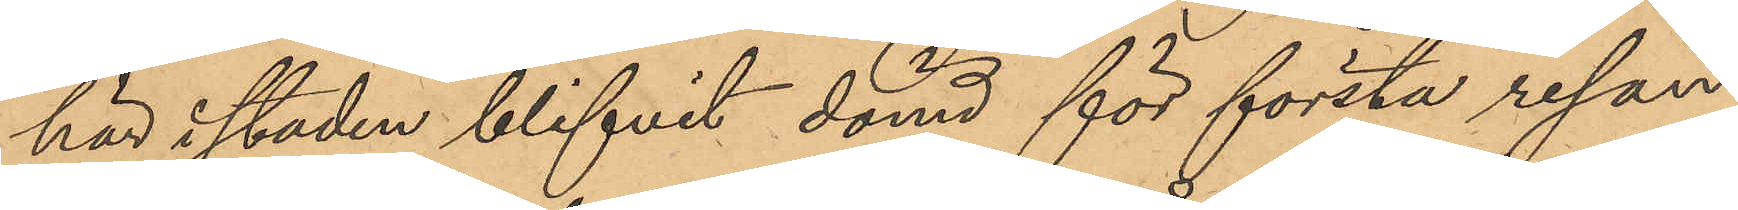här i staden blifvit dömd för första resan
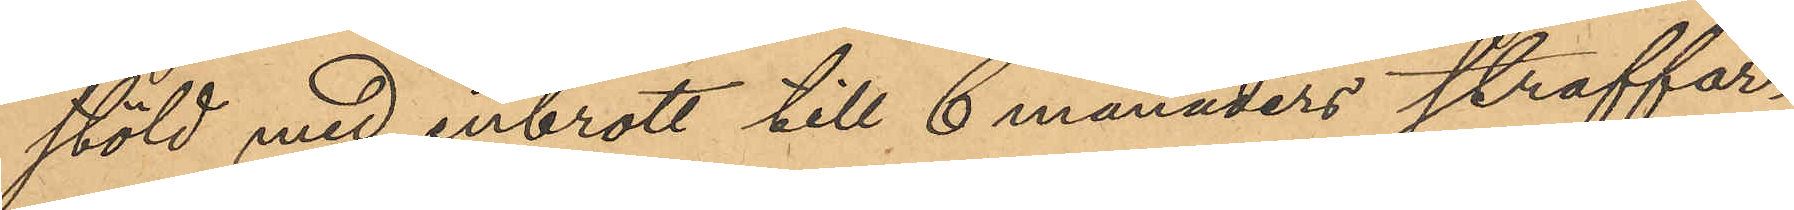stöld med inbrott till 6 månaders straffar¬
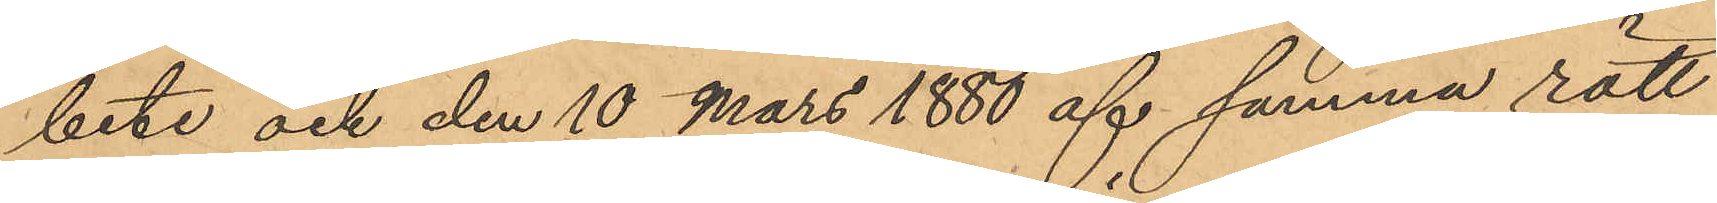bete och den 10 Mars 1880 af samma rätt
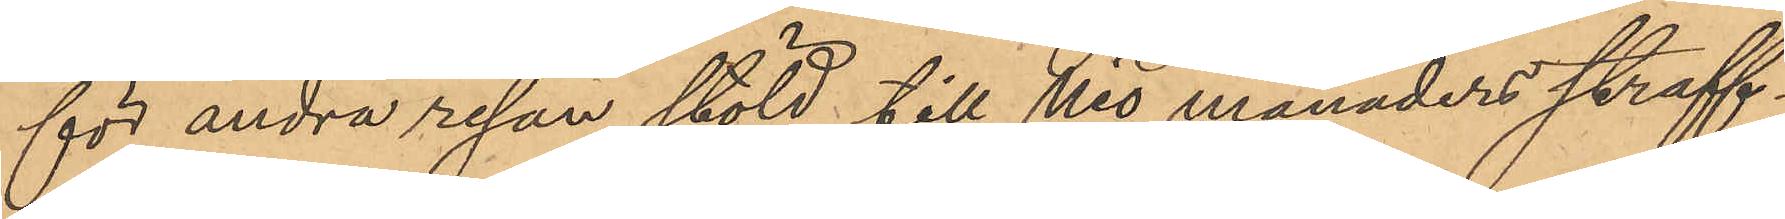för andra resan stöld till Nio månaders straff¬
